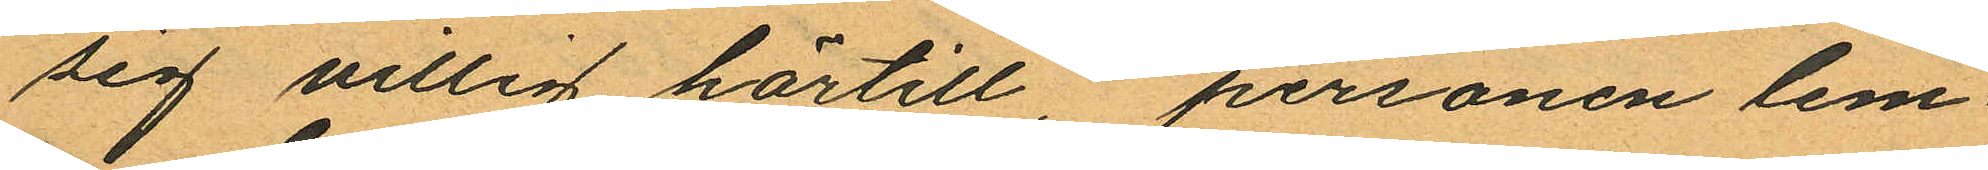sig villig härtill, personen lem¬
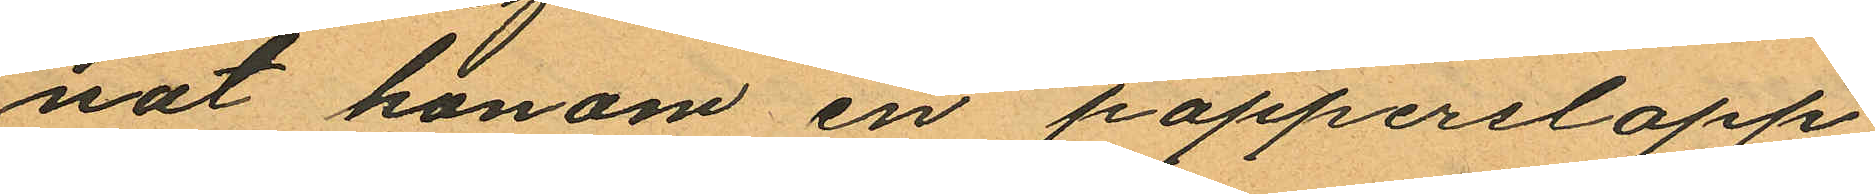nat honom en papperslapp
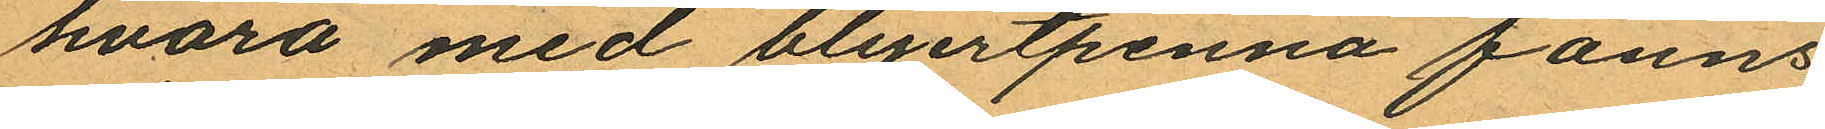hvarå med blyertpenna fanns
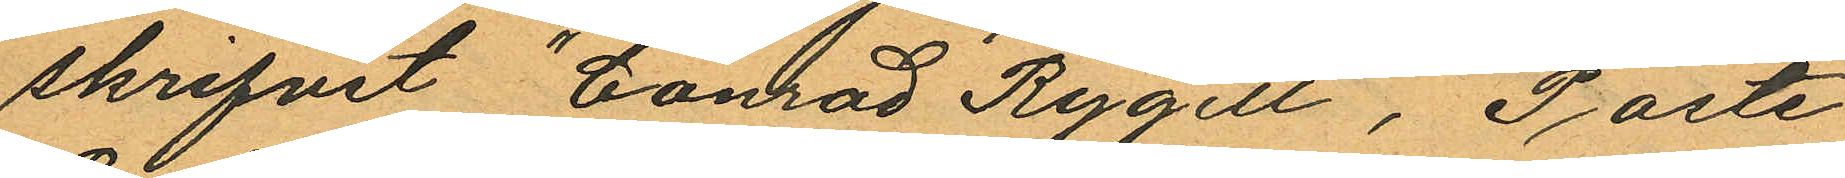skrifvet "Conrad Rygell, Poste
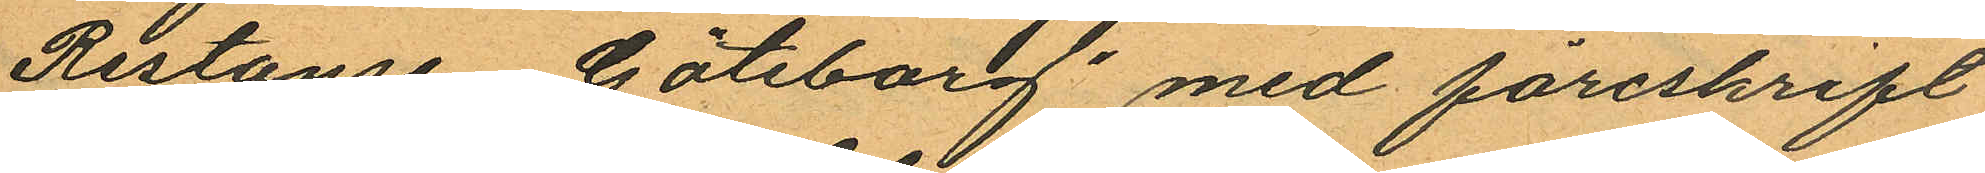Restanse Göteborg" med föreskrift
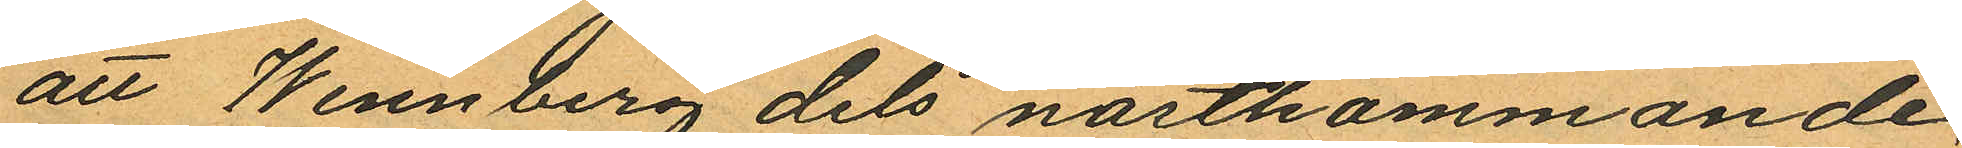att Wennberg dels nästkommande
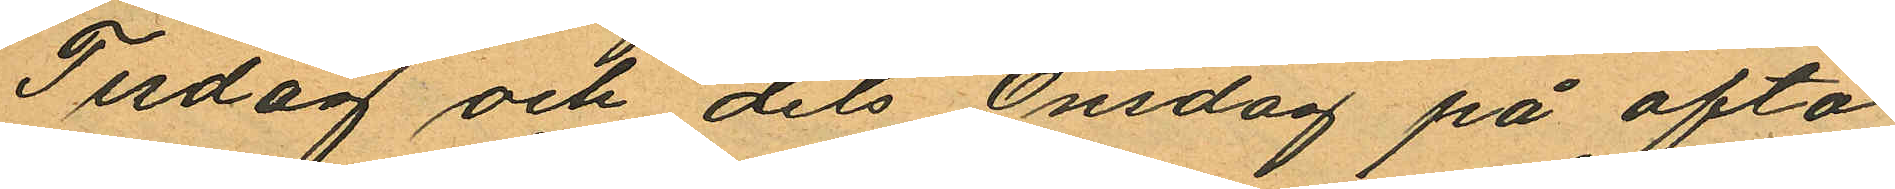Tisdag och dels Onsdag på afto¬
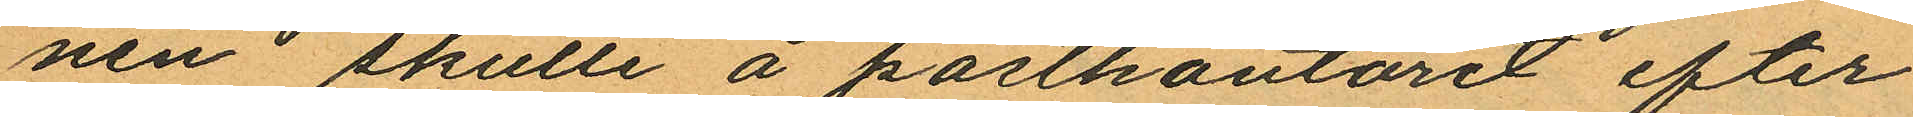nen skulle å postkontoret efter
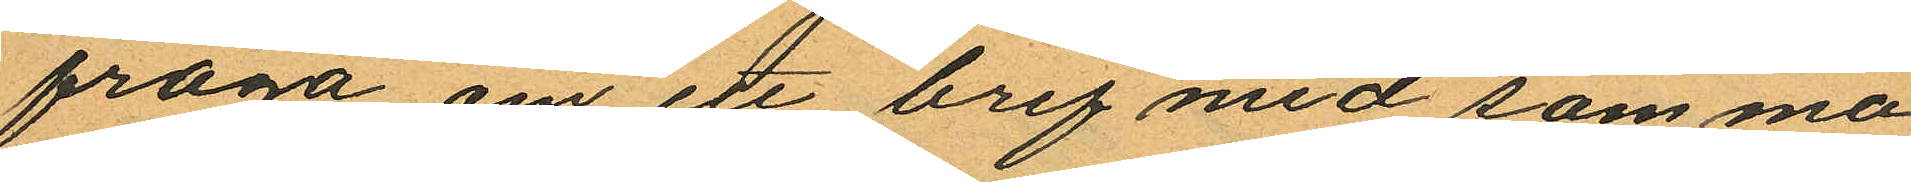fråga om ett bref med samma
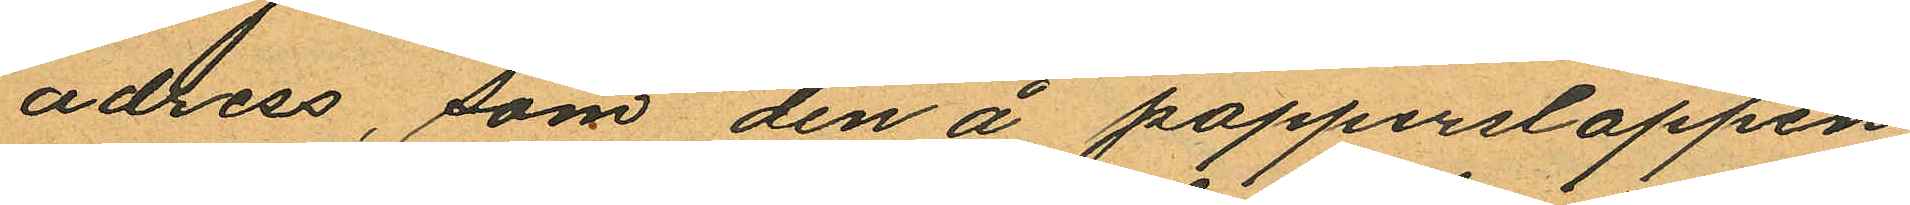adress, som den å papperslappen
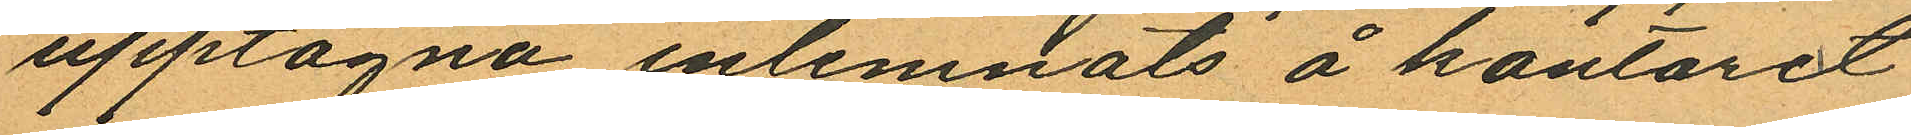upptagna inlemnats å kontoret
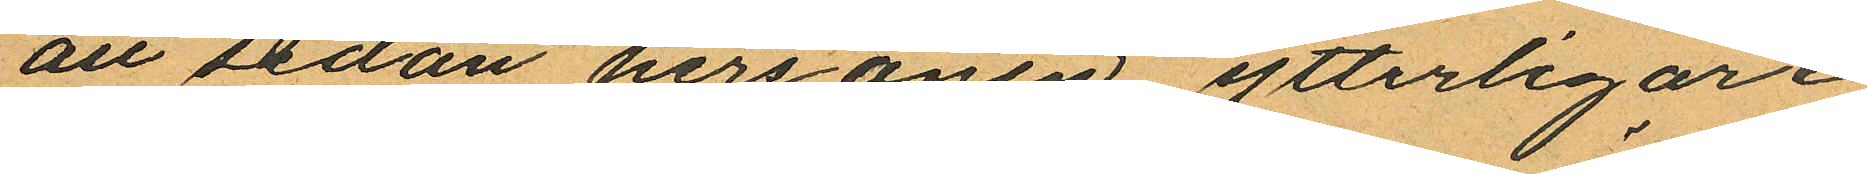att sedan personen ytterligare
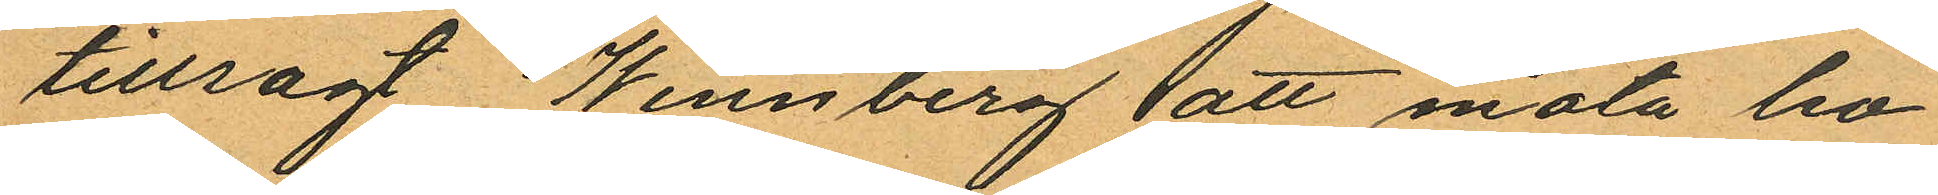tillsagt Wennberg att möta ho¬
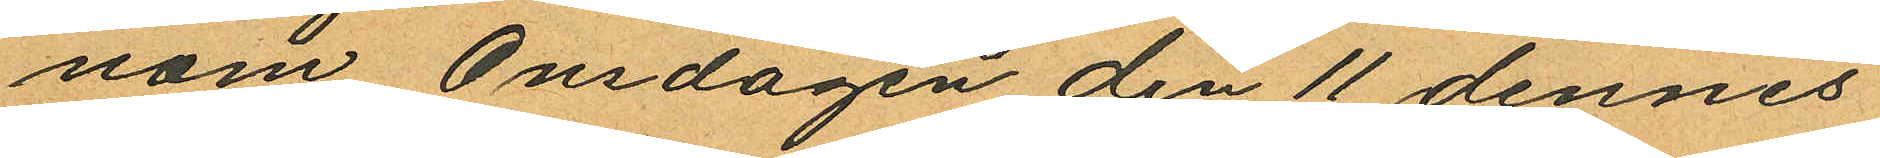nom Onsdagen den 11 dennes
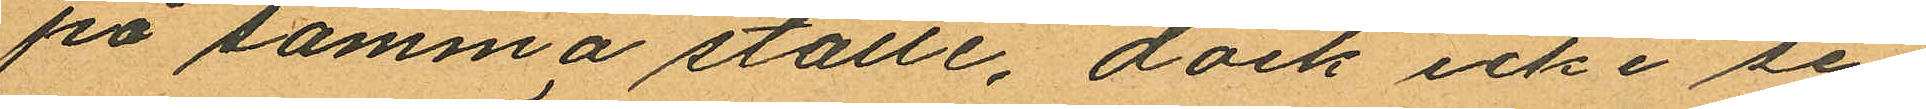på samma ställe, dock icke se
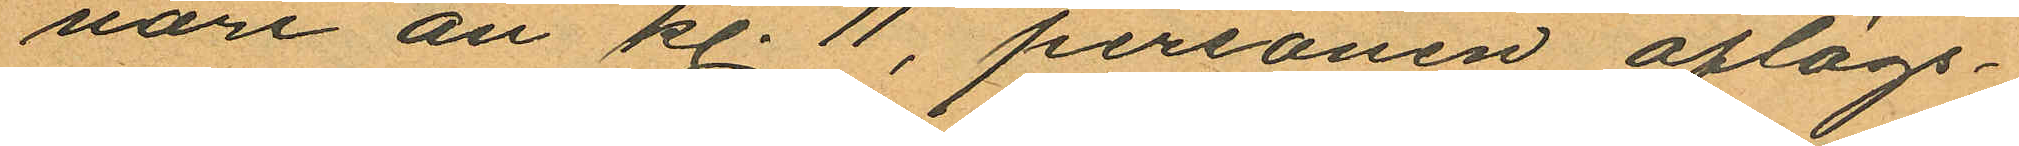uari än kl. 11, personen aflägs¬
